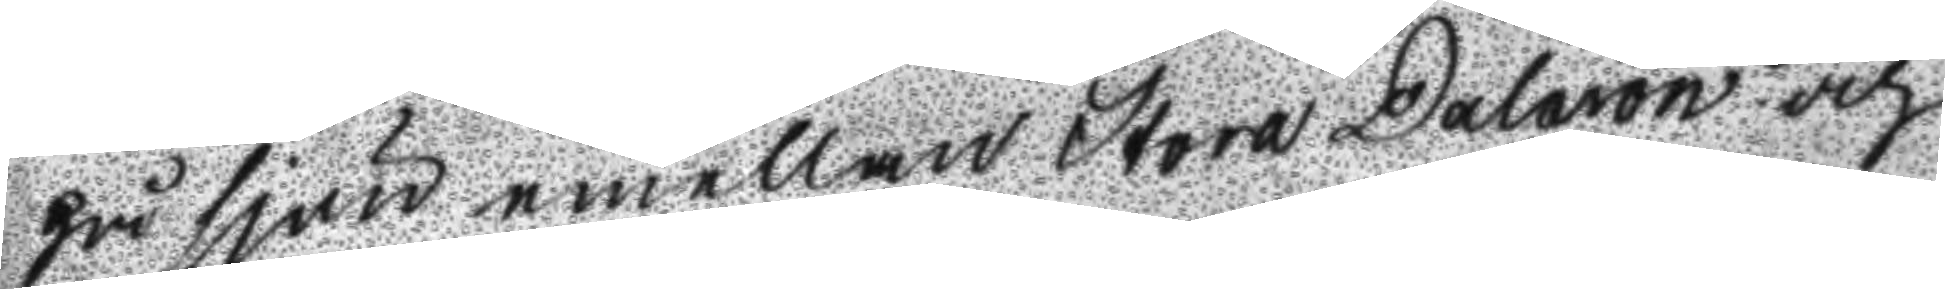på sjön emellan Stora Dalarön och
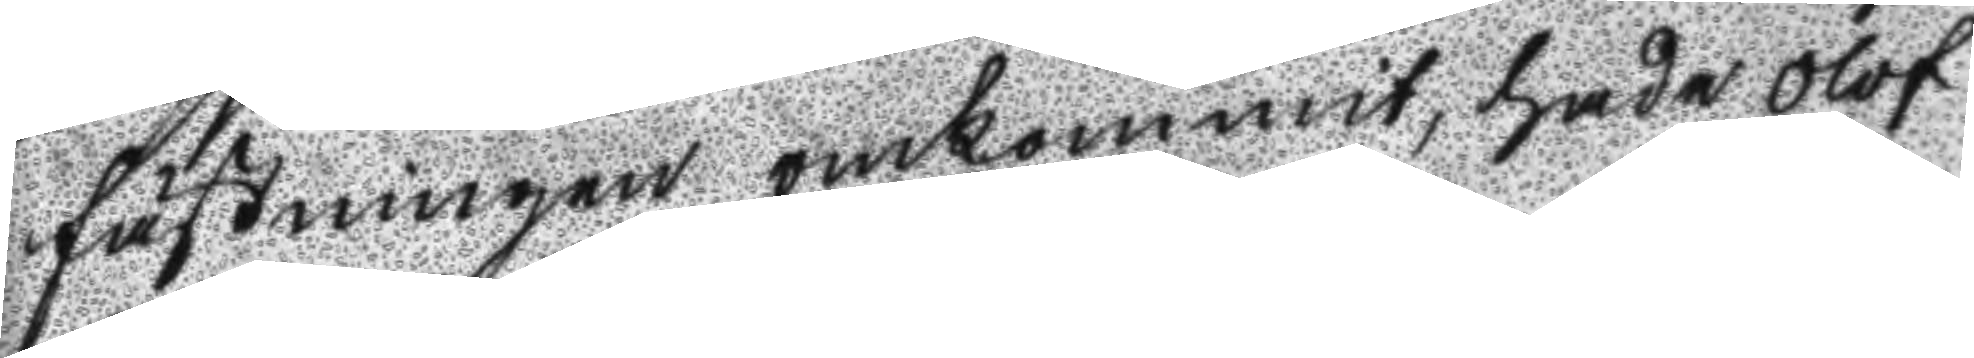fästningen omkommit, hade Olof
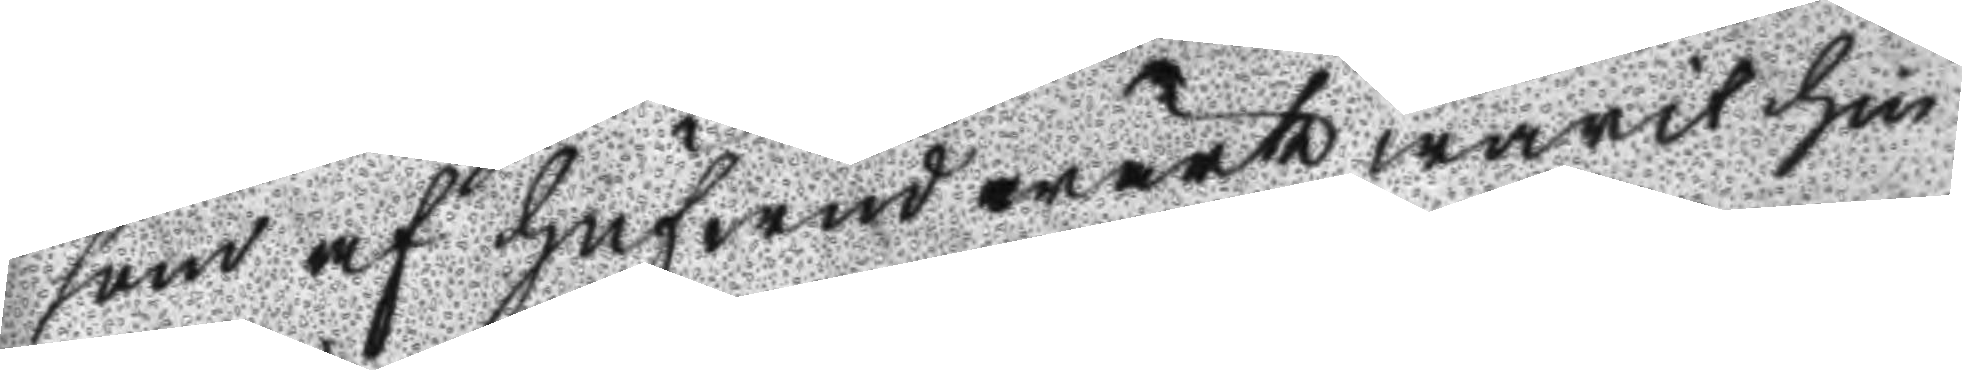som af hufwudwärk warit hin
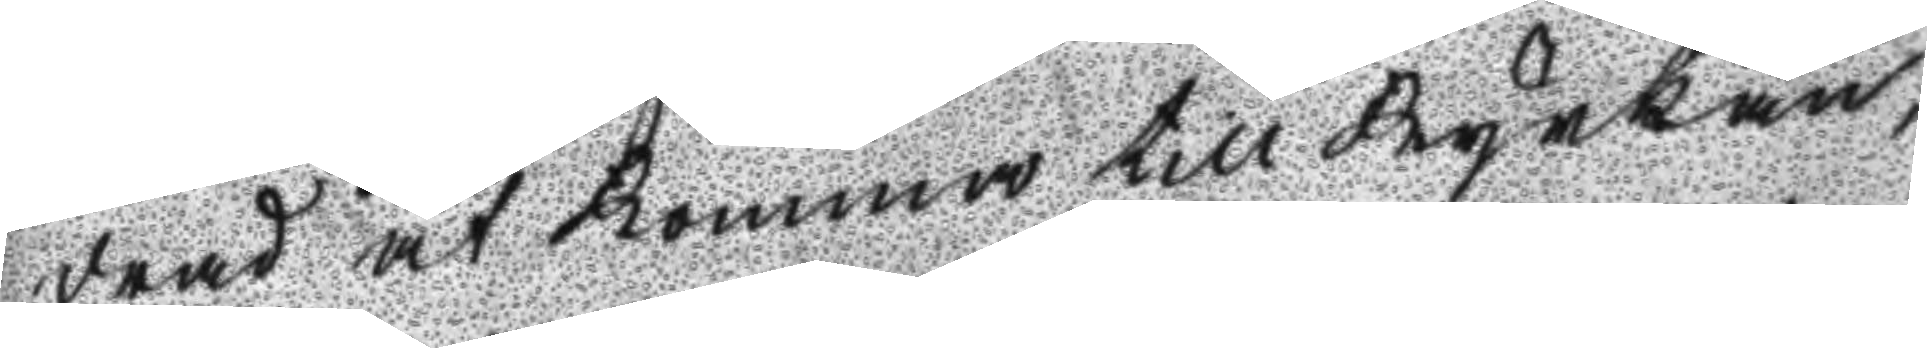drad at komma till kyrkan,
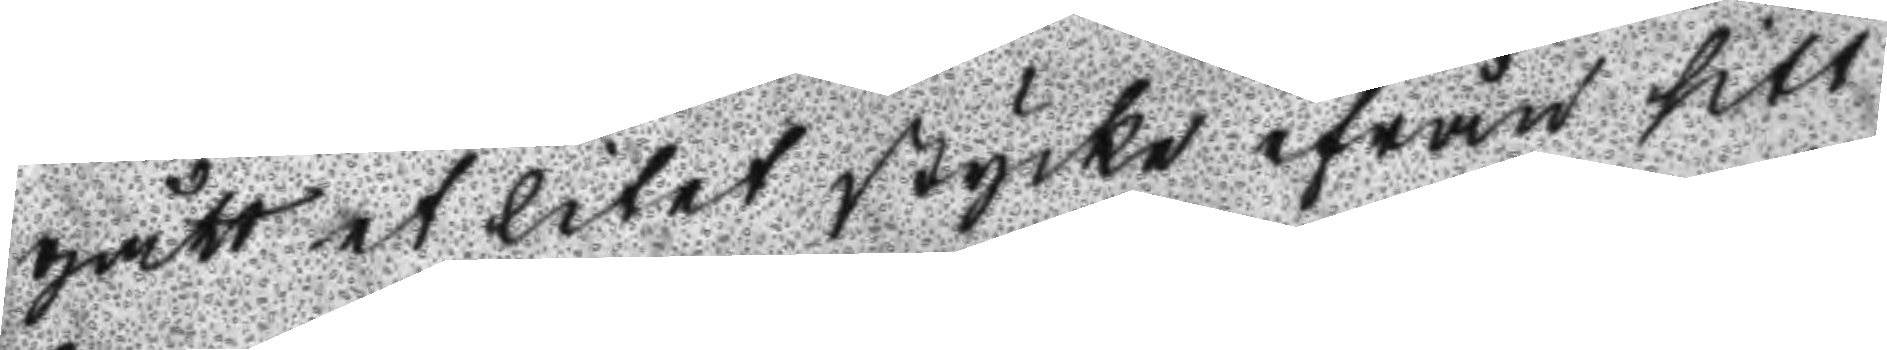gått et litet stycke ifrån sitt
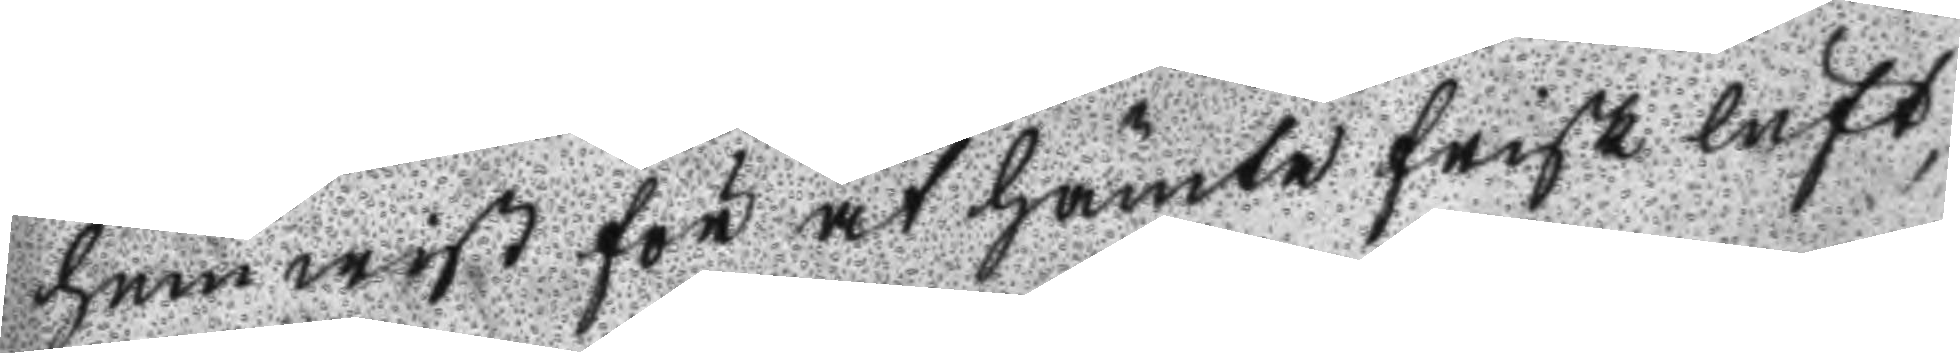hemwist för at hämta frisk luft,
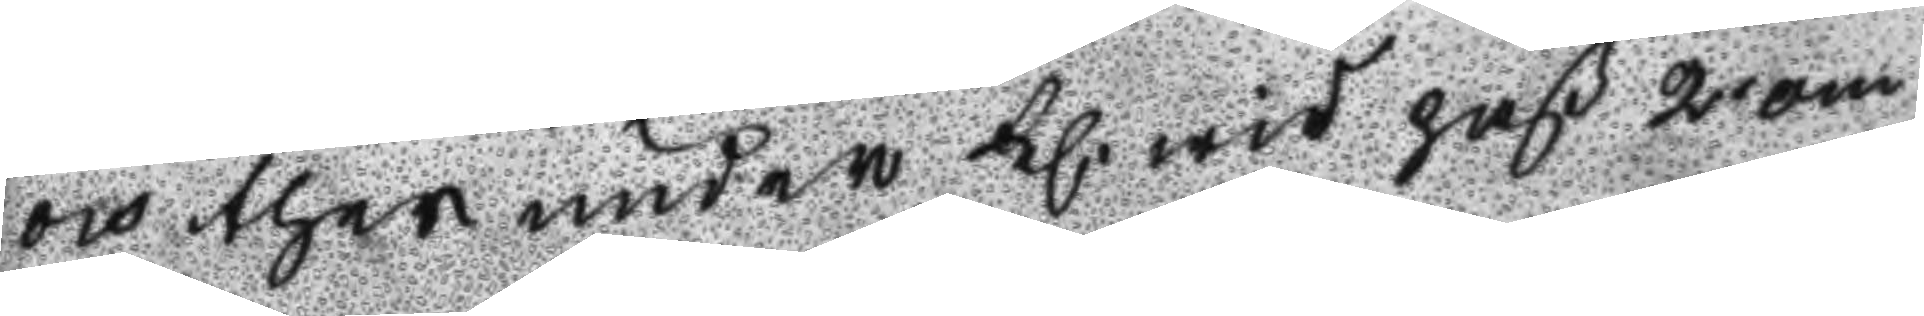och ther under kl. wid paß 2 om
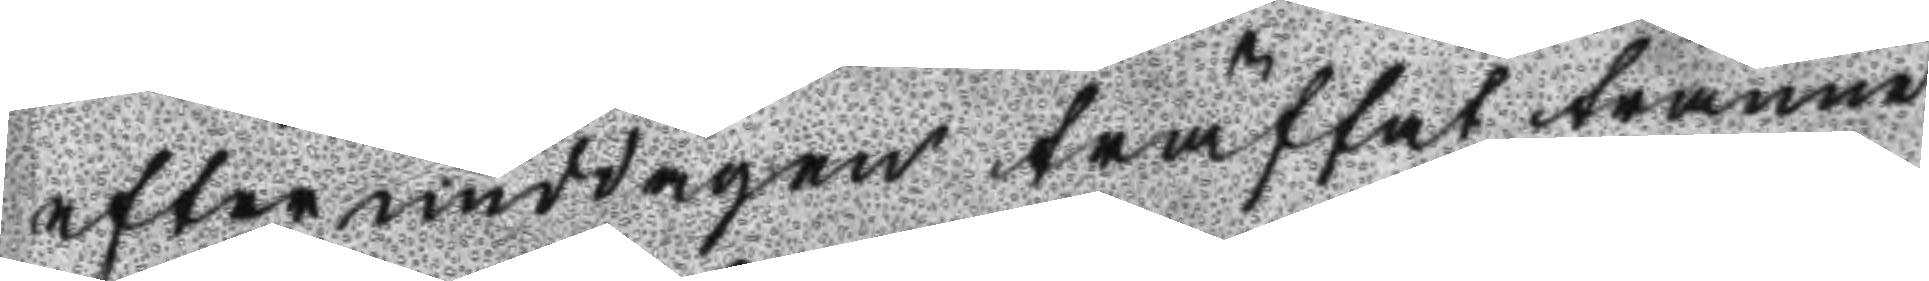eftermiddagen träffat tränne
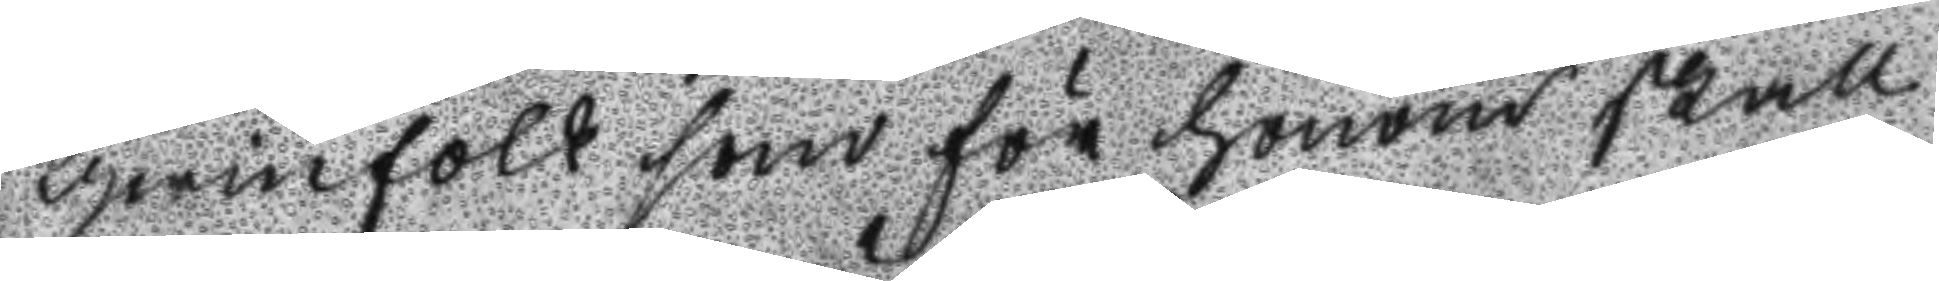qwinnfolk som för honom skall
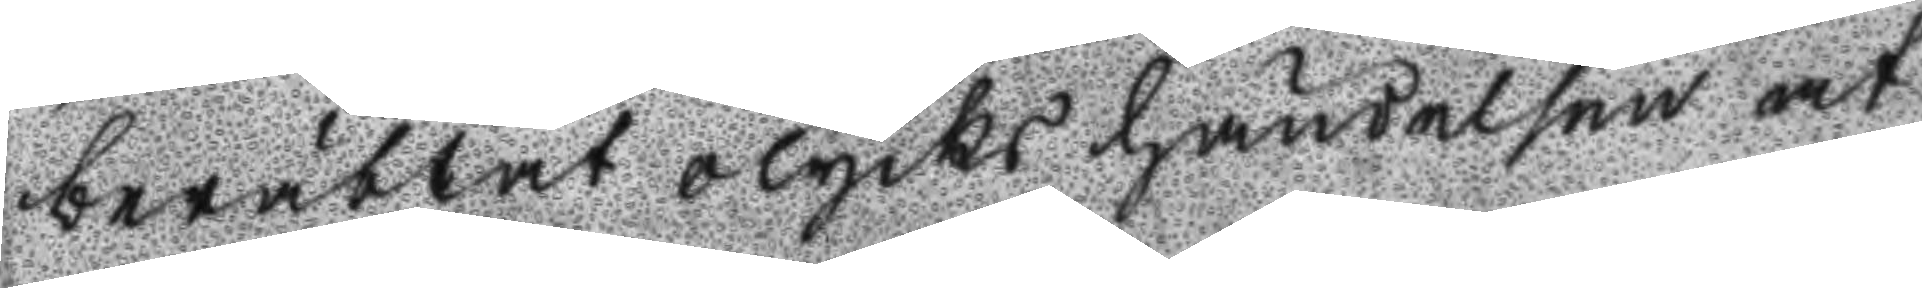berättat olycks händelsen at
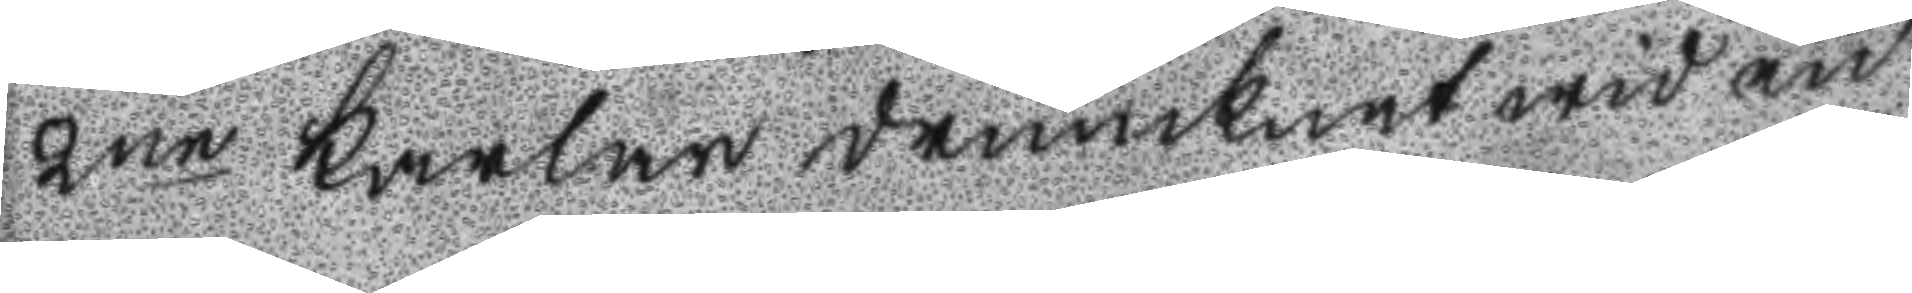2ne karlar drunknat wid en
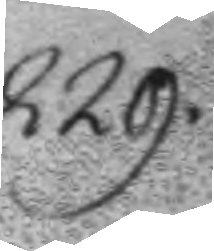229.
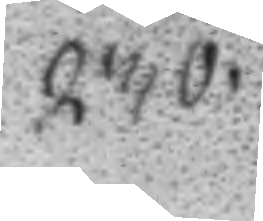230.
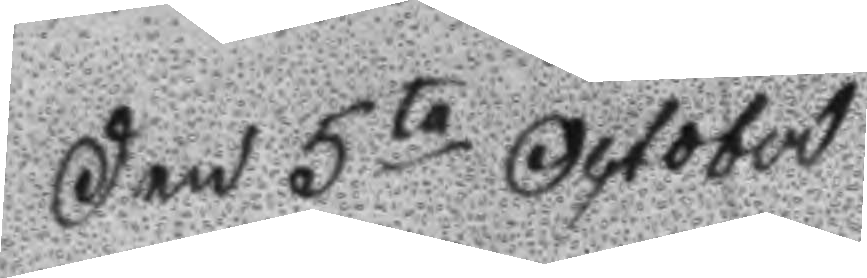Den 5te October
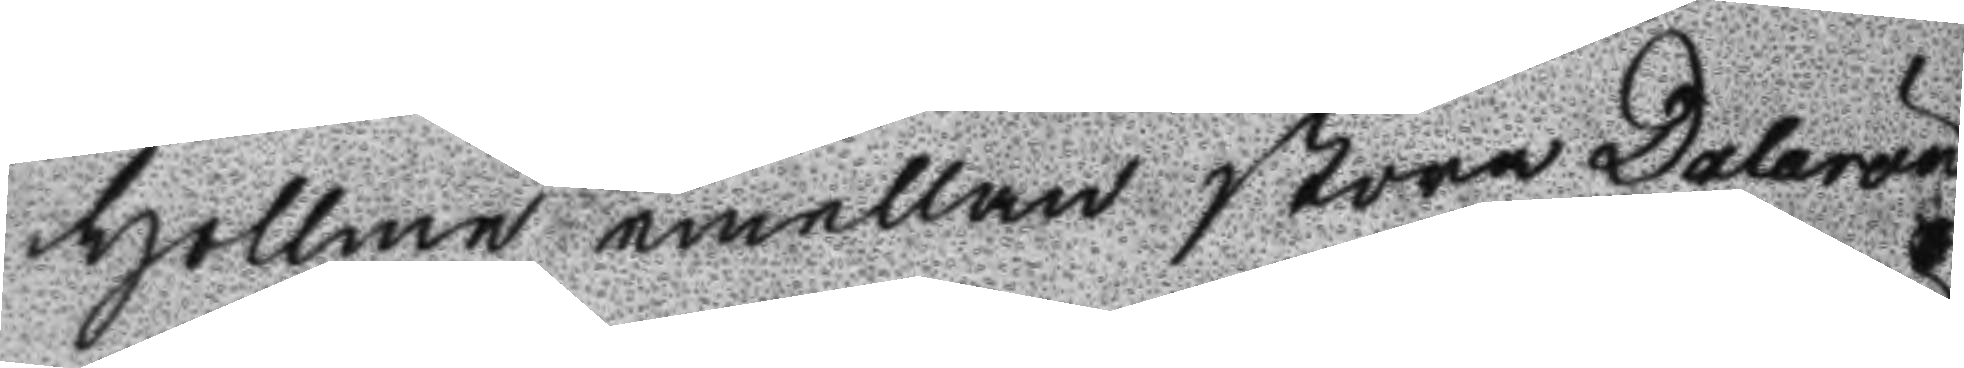hollme emellan Stora Dalarön
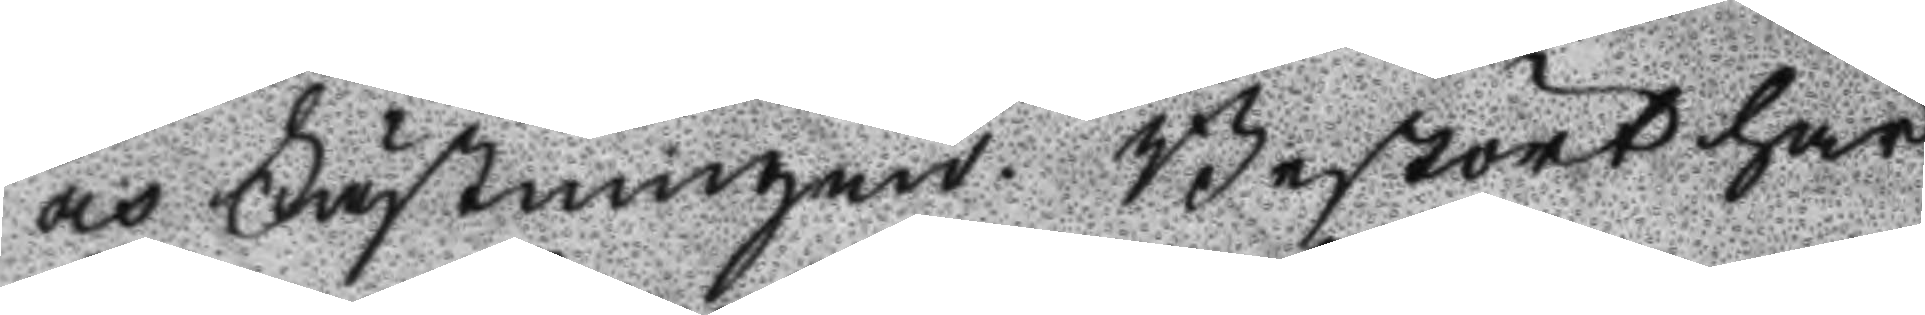och Fästningen. Bestört här
